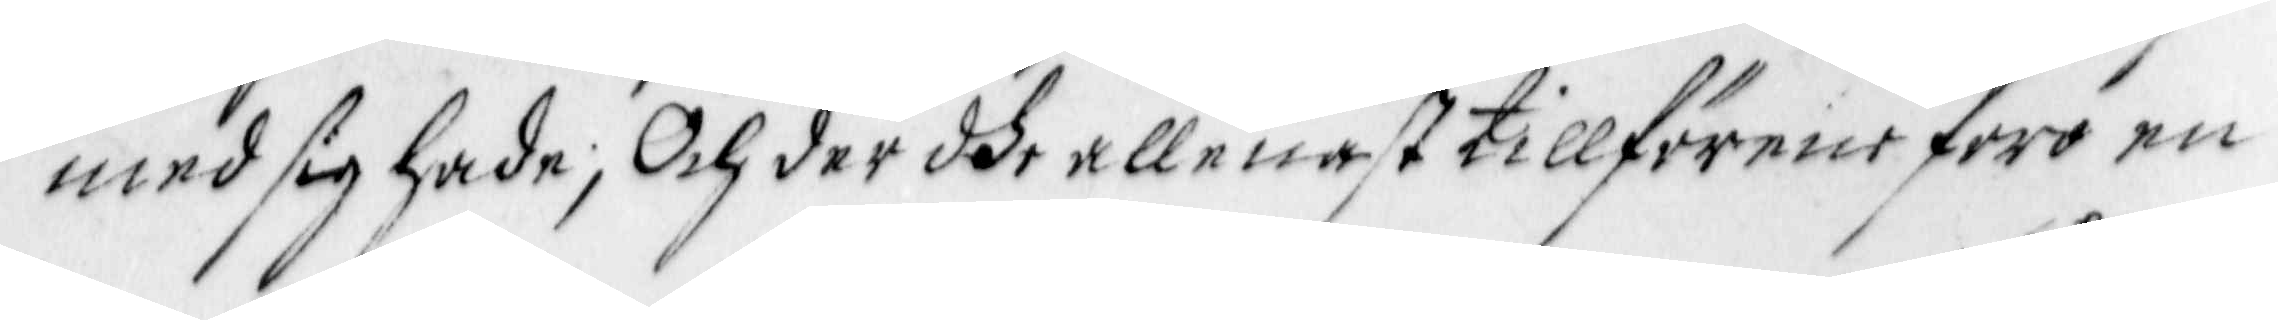med sig hade; Och der dhe allenast tillförene foro en
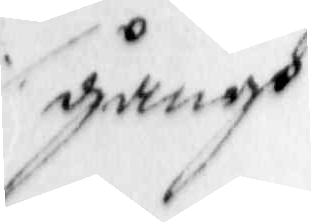gångh
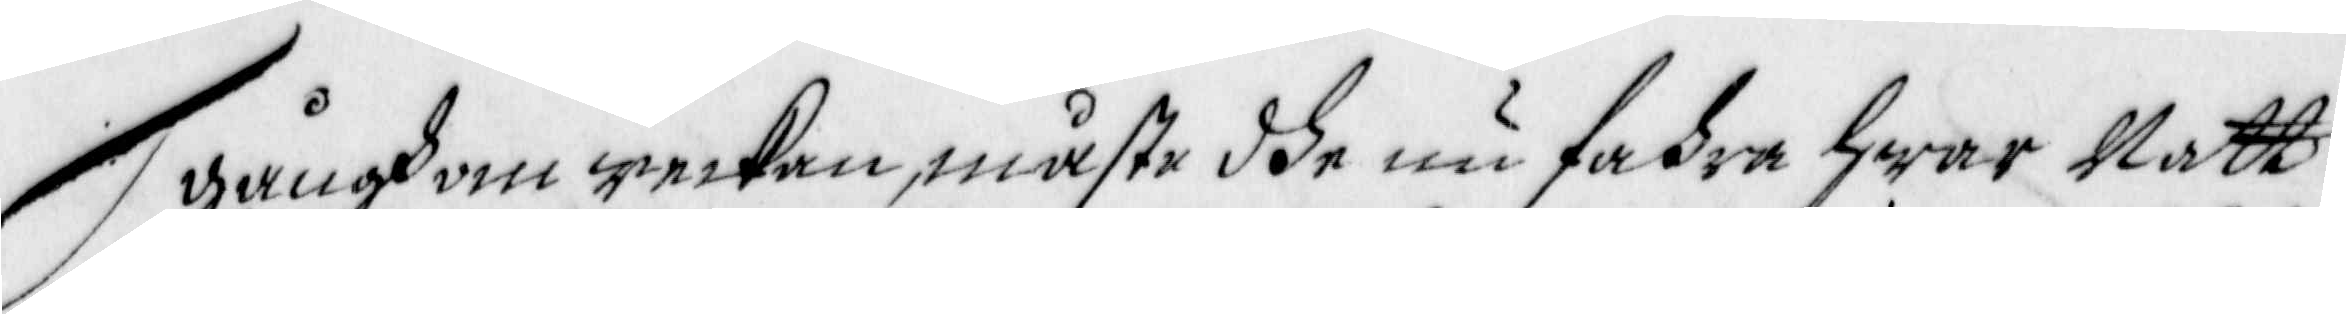gångh om weckan, måste dhe nu fahra hwar Natt.
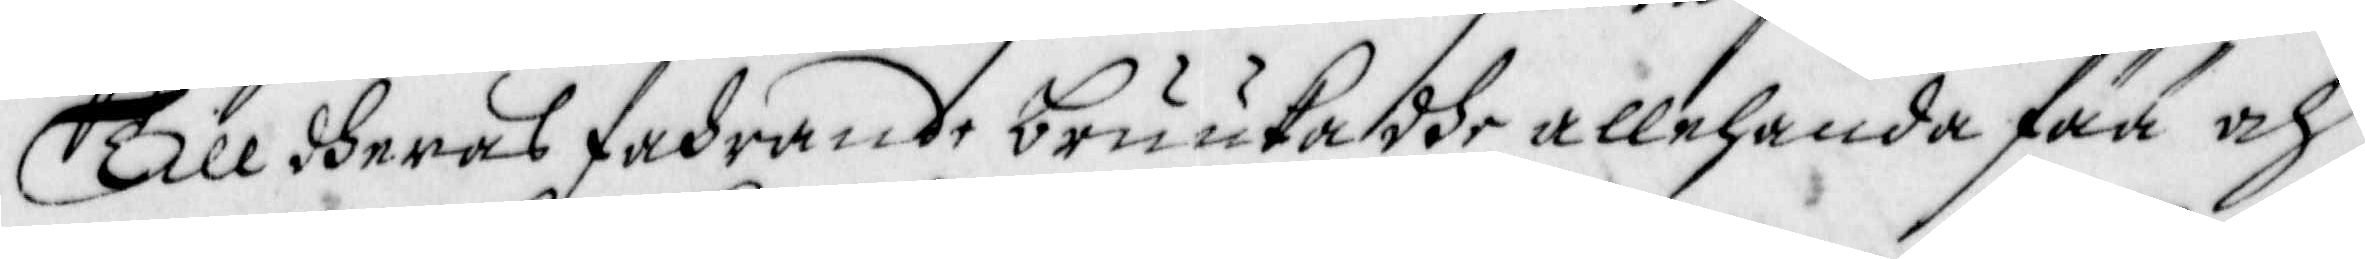Till dheras fahrande bruuka dhe allehanda fää och
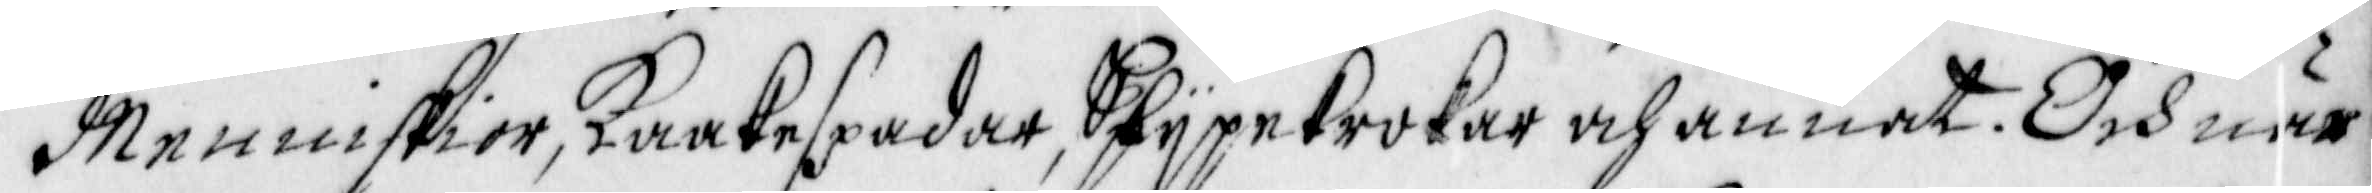Menniskior, Kaakespadar, Spypekrokar och annat. Och när
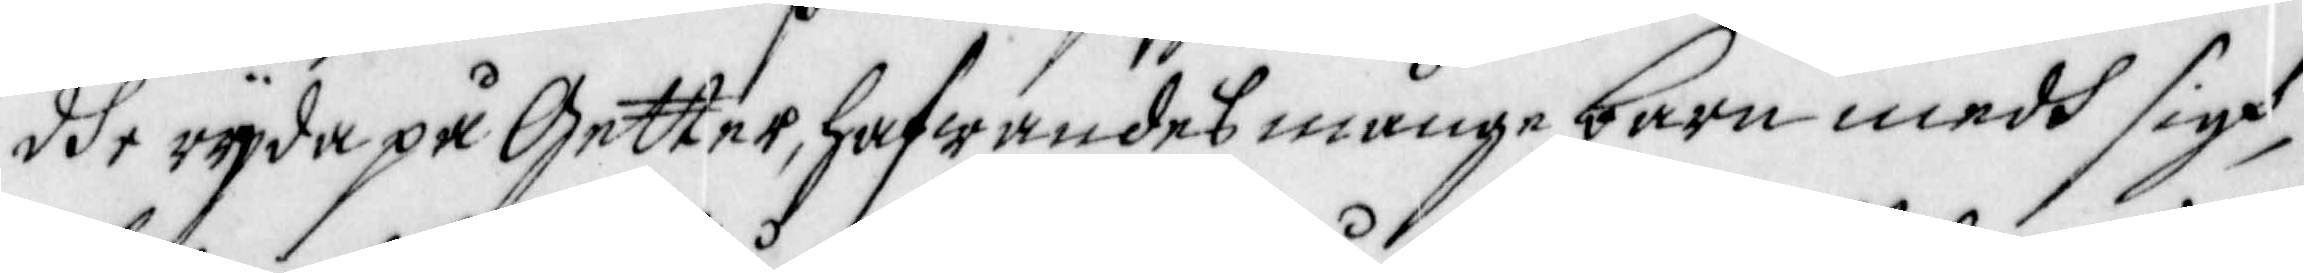dhe ryda på getter, hafwandes många barn medh sigh 
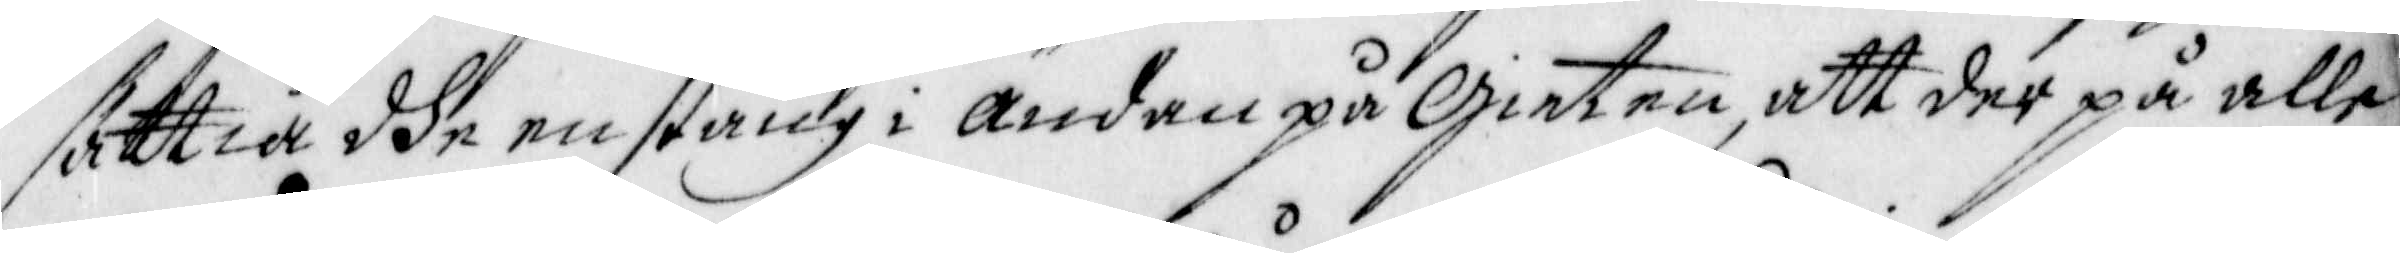sättia dhe en stång i ändan på Gieten, att der på alle
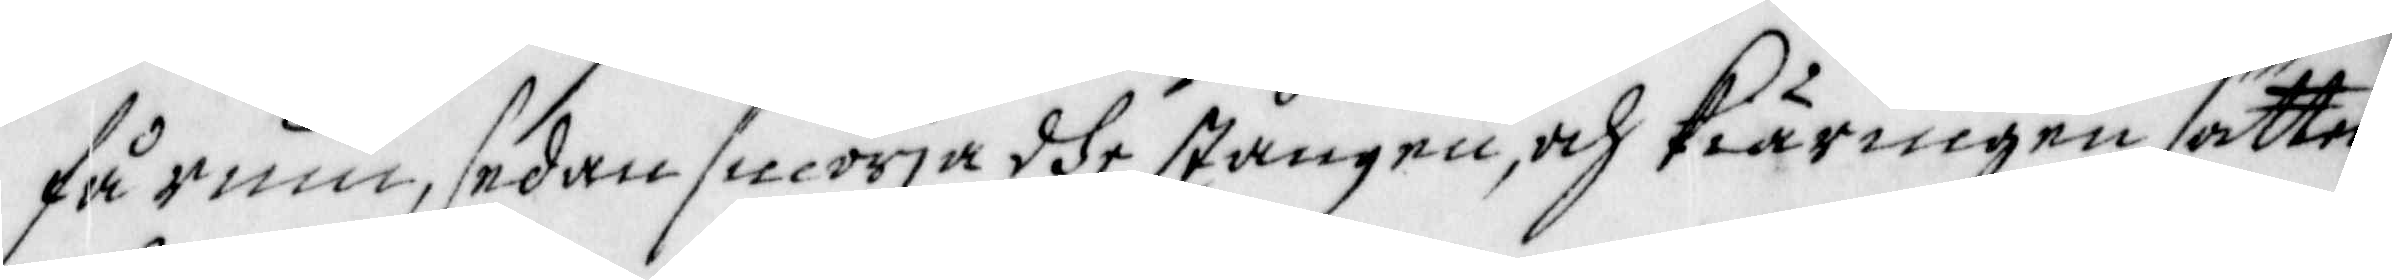får rum, sedan smörja dhe stången, och Kiäringen sätter
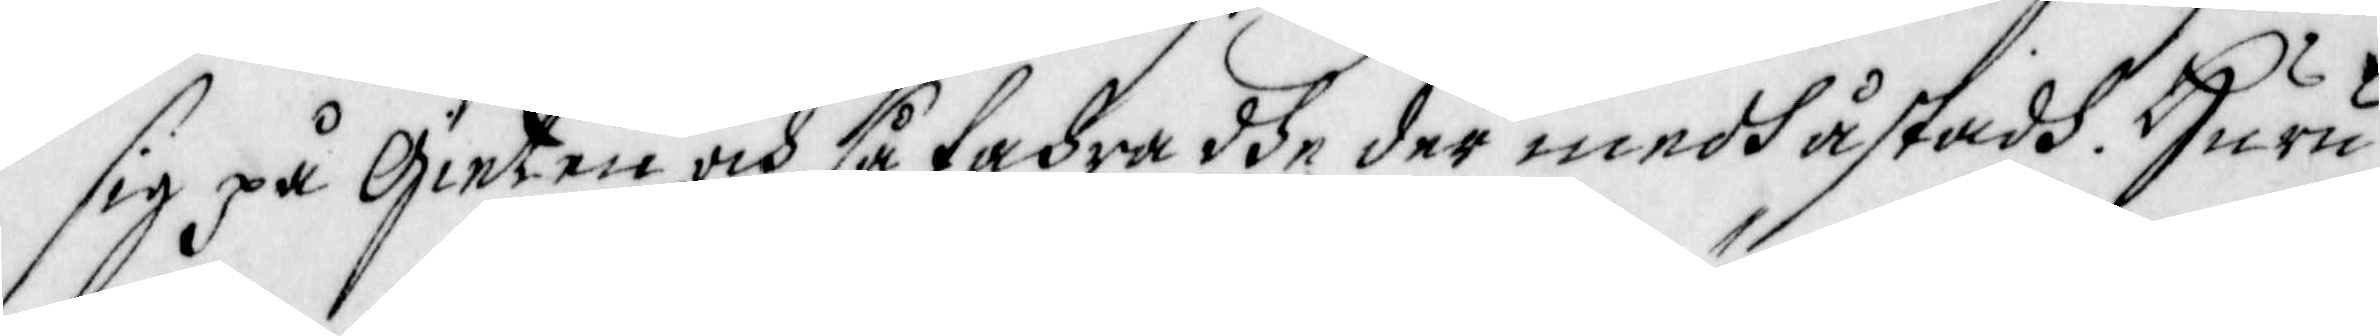sig på Gieten, och så fahra dhe der medh åstadh. Huru
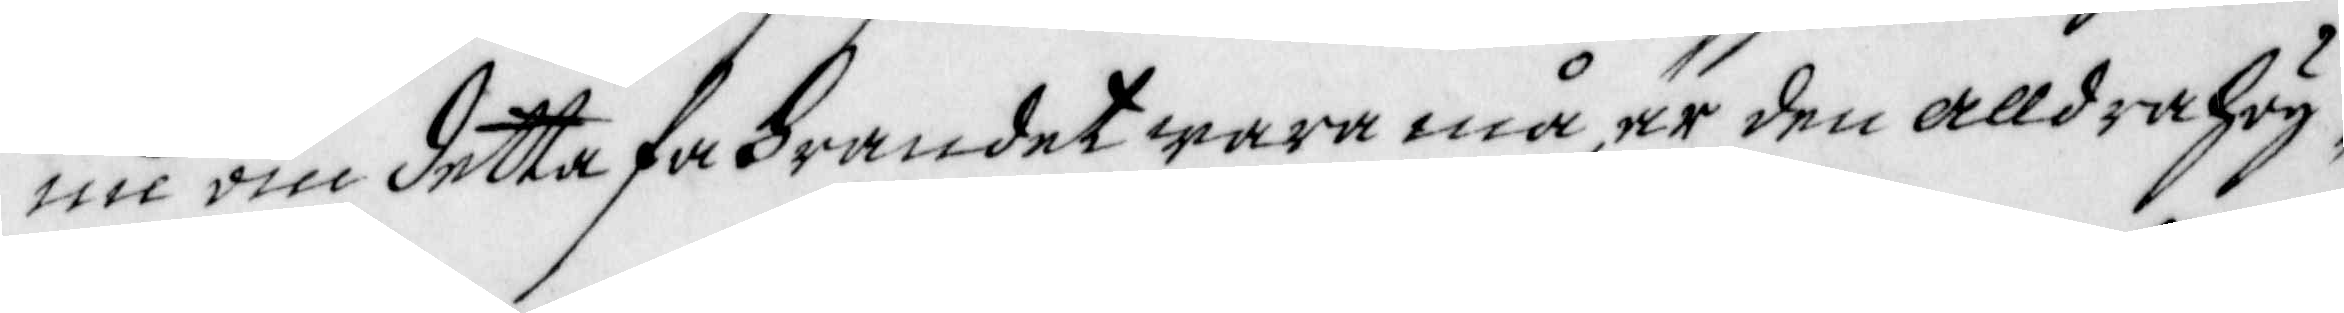nu om detta fahrandet wara må, är den alldra hög¬
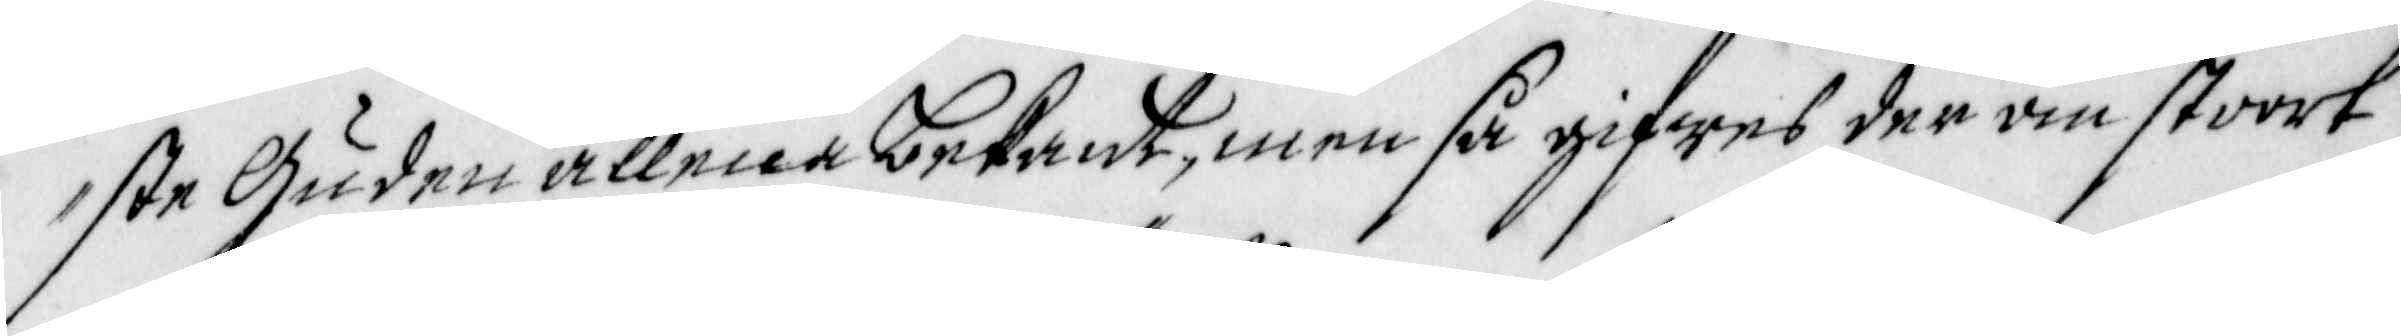ste Guden allena bekant, men så gifwes der om stoort 
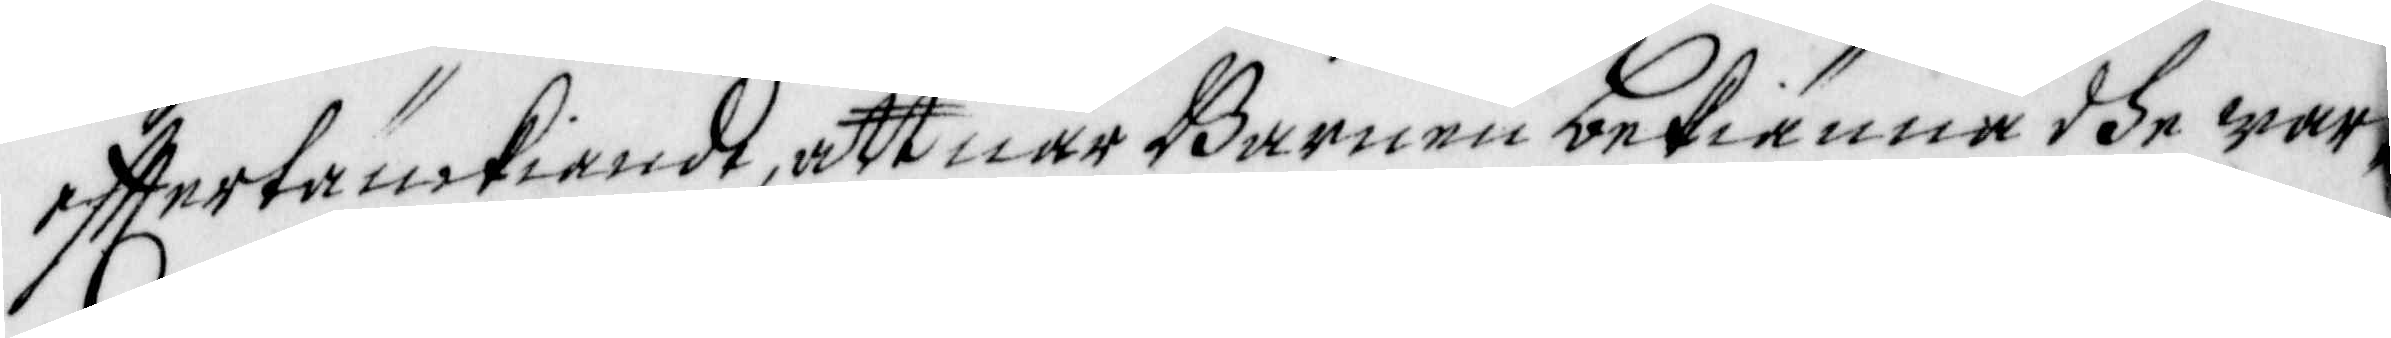efftertänckiande, att när Barnen bekiänna dhe war¬
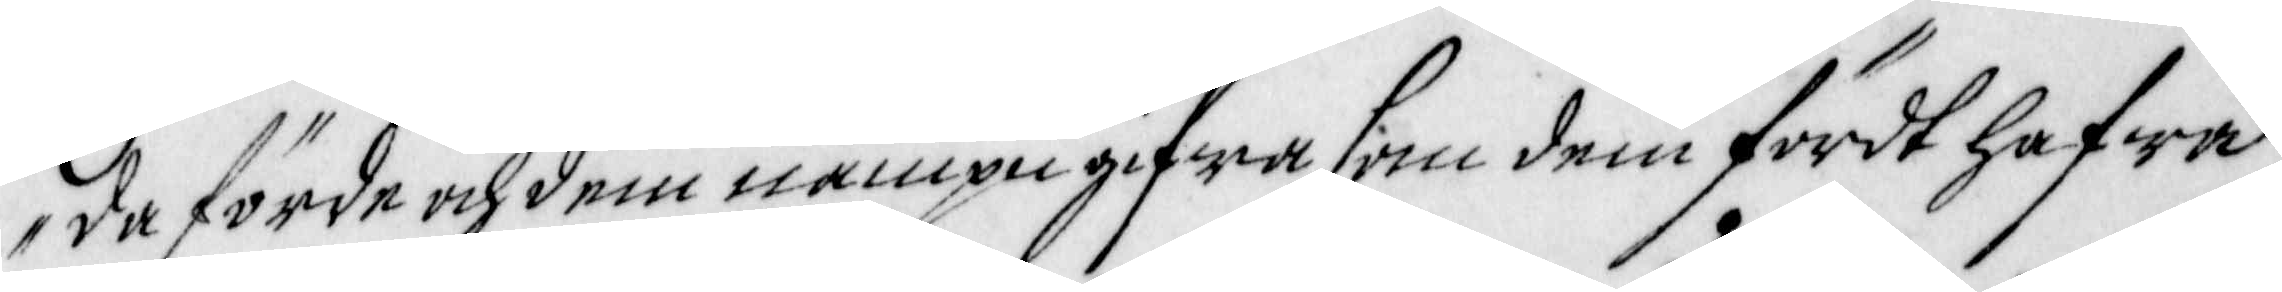da förde och dem nampn gifwa som dem fördt hafwa,
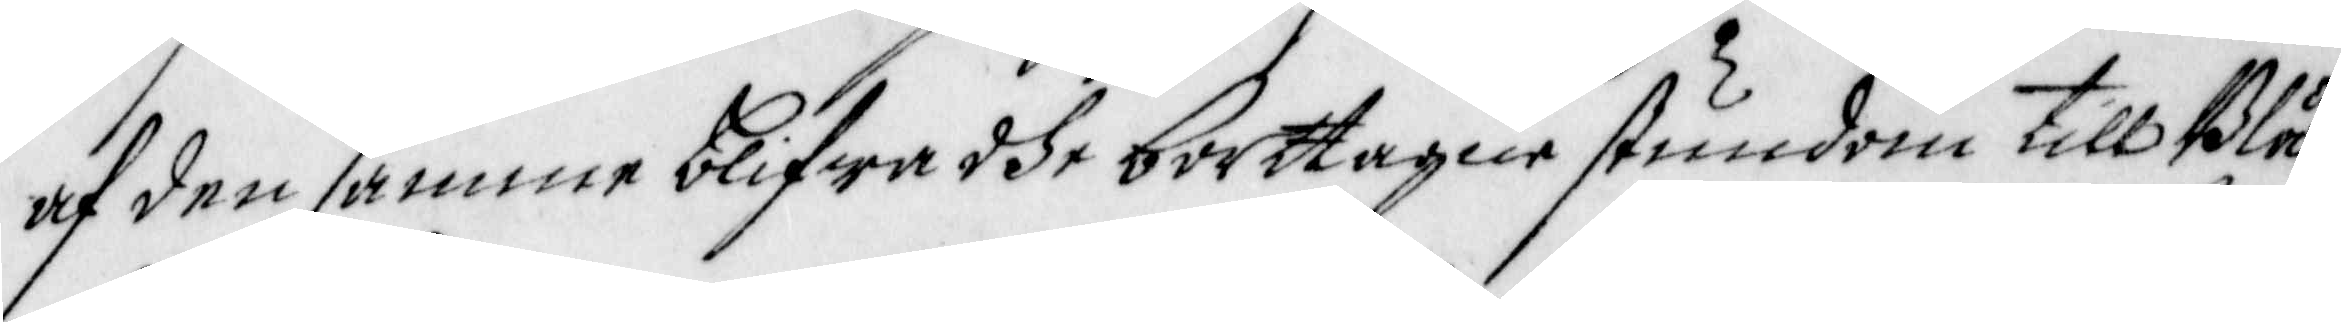af den samma blifwa dhe borttagne stundom till Blå¬
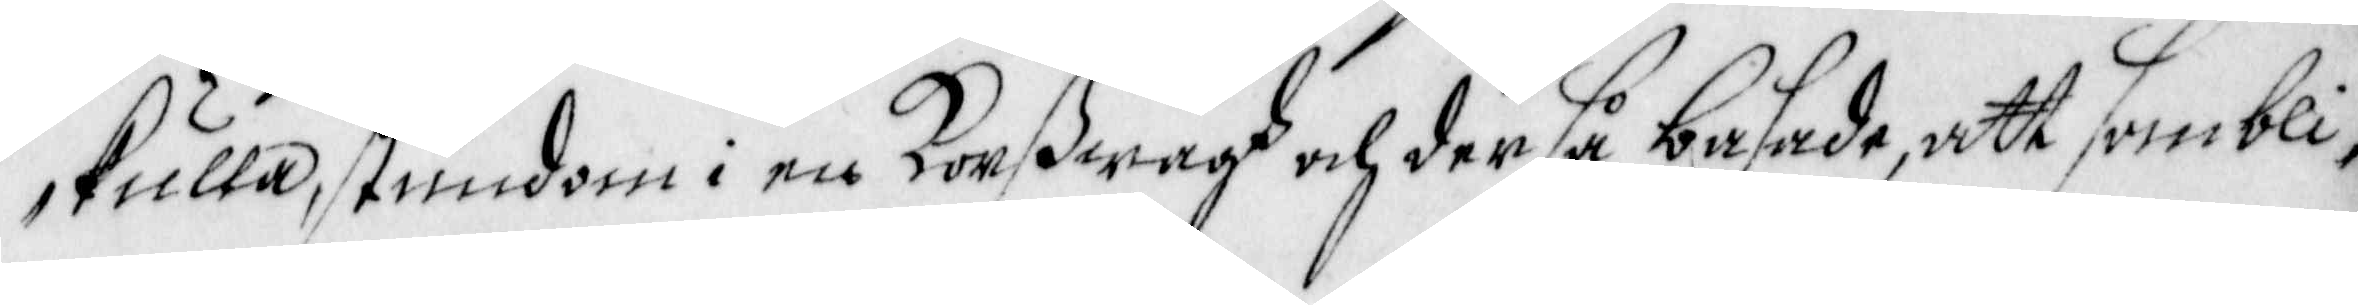kulla, stundom i en Korßwägh och der så basade, att sombli¬
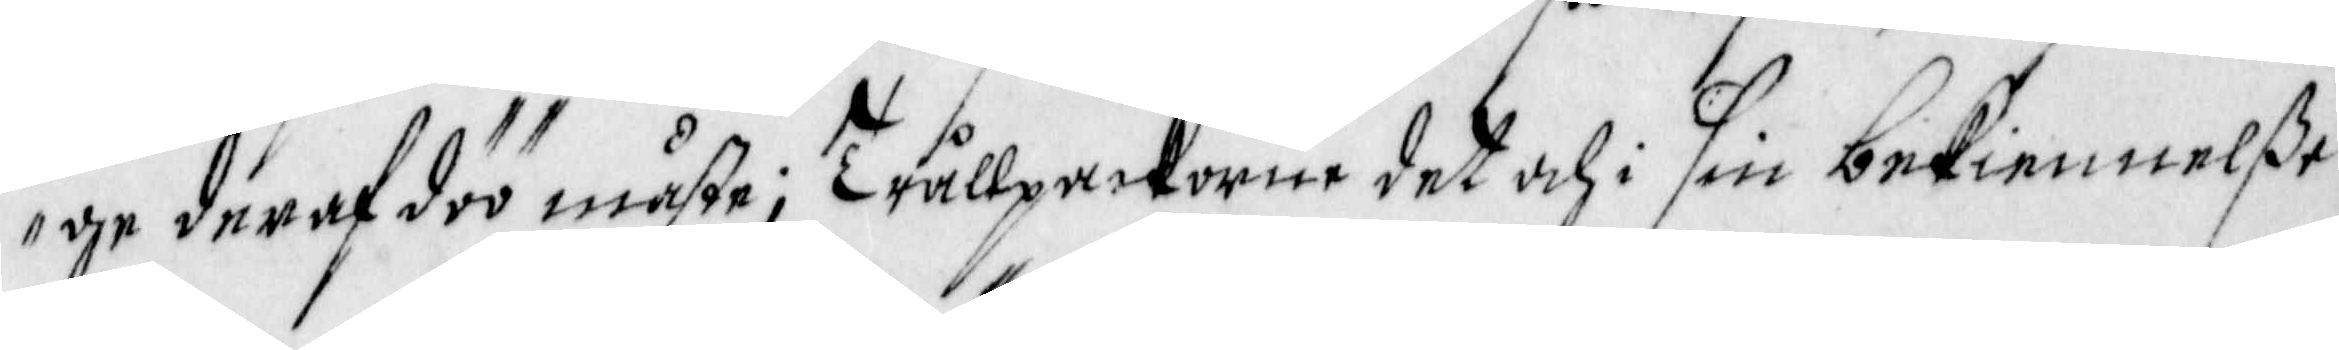ge deraf döö måste; Trållpackorne det och i sin bekiennelße
